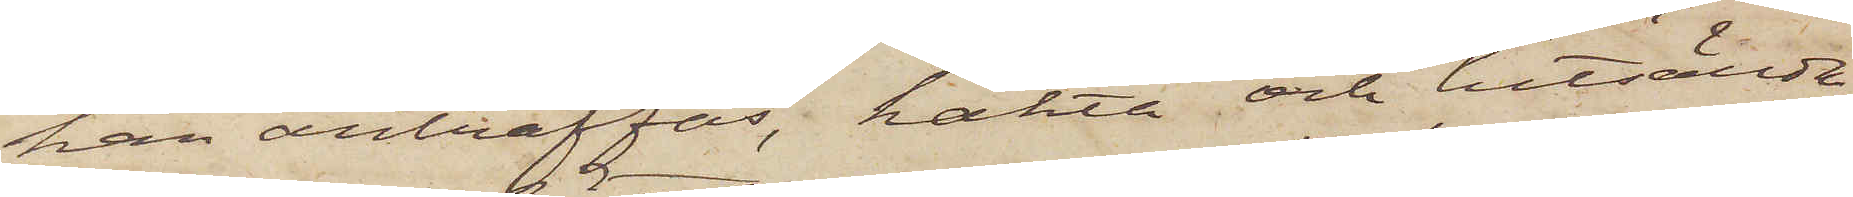han anträffas, häkta och hitsända
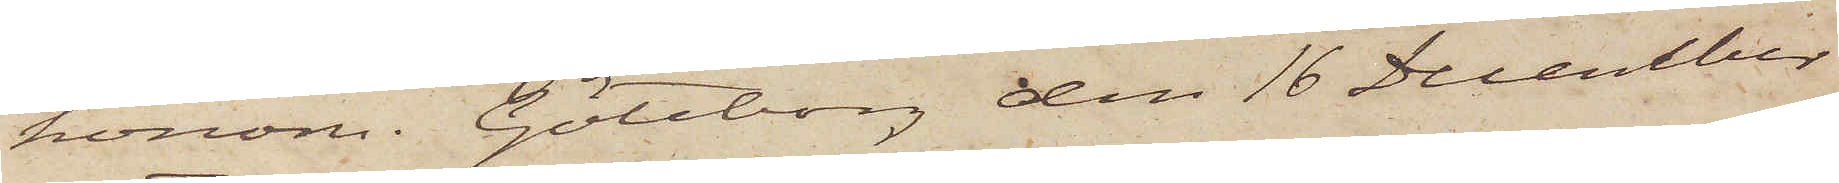honom. Göteborg den 16 December
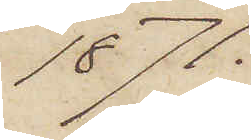1871.
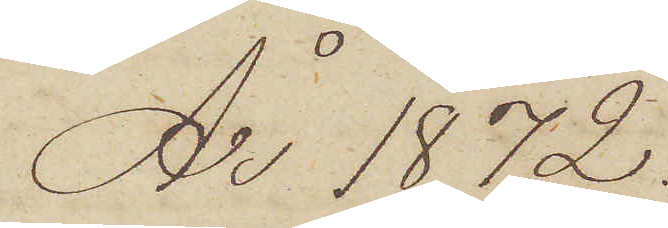År 1872.
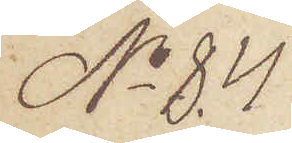No 84.
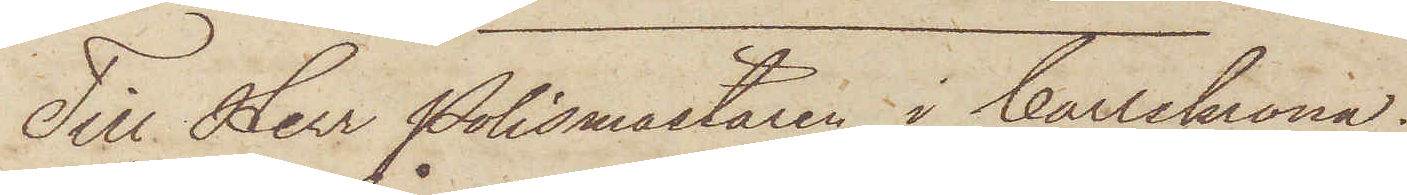Till Herr Polismästaren i Carlskrona.
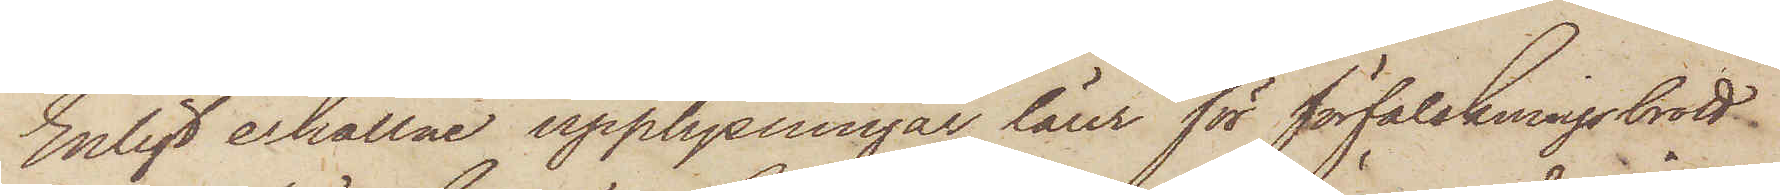Enligt erhållne upplysningar lärer för förfalskningsbrott
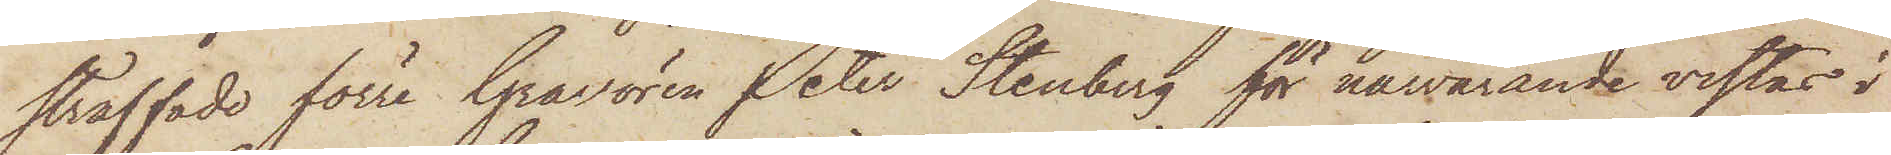straffade förre Gravören Peter Stenberg för närvarande vistas i
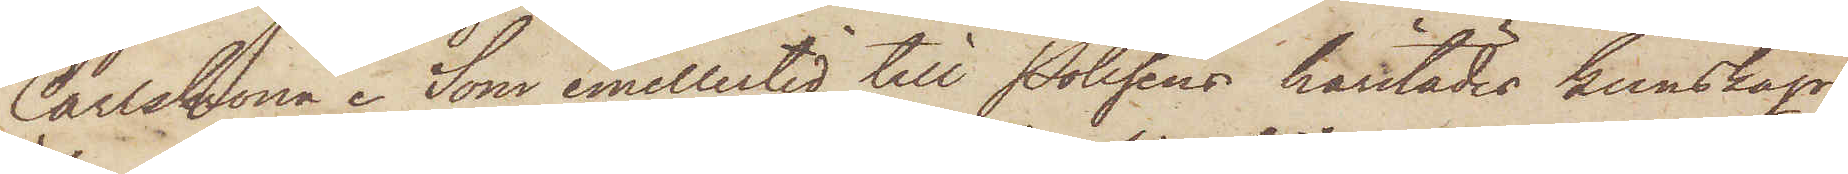Carlskrona. Som emellertid till Polisens härstädes kunskap
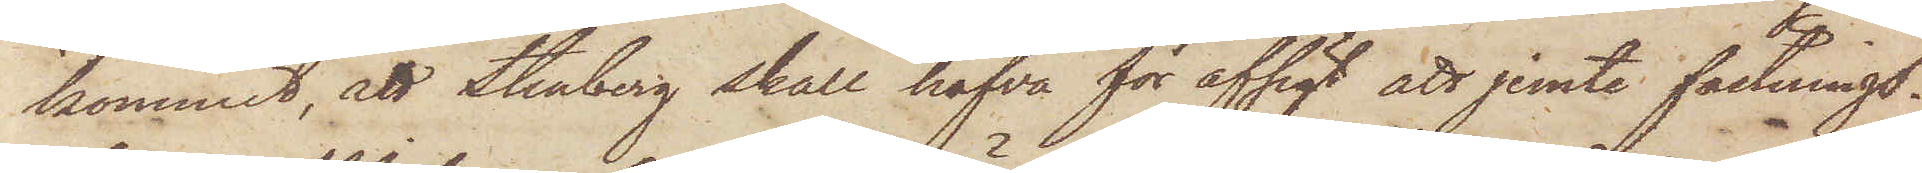kommit, att Stenberg skulle hafva för afsigt att jemte fästnings¬
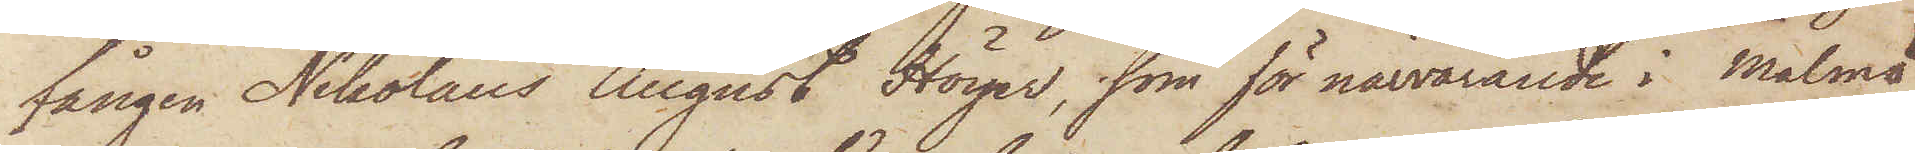fången Nikolaus August Höyer, som för närvarande i Malmö
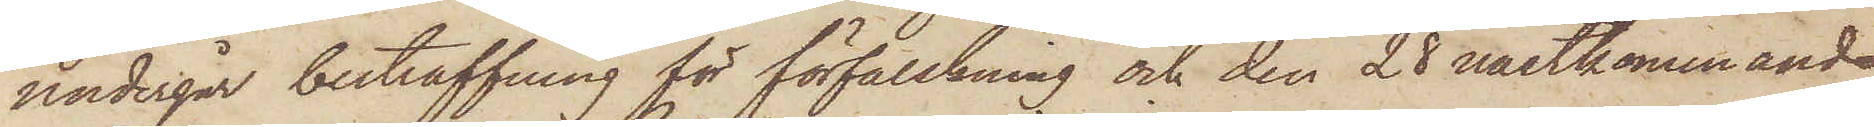undergår bestraffning för förfalskning och den 28 nästkommande
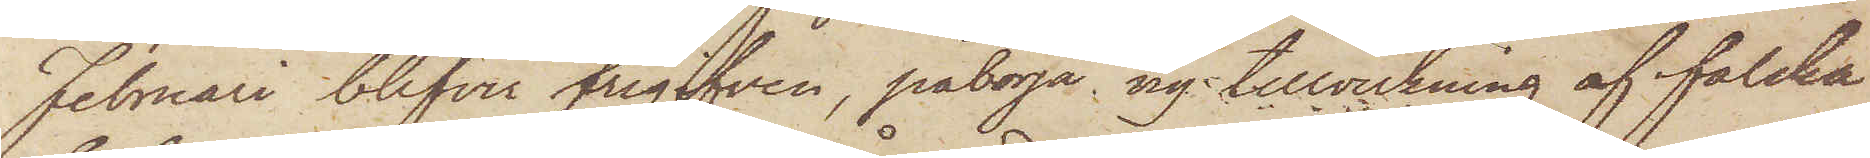Februari blifver frigifven, påbörja ny tillverkning af falska
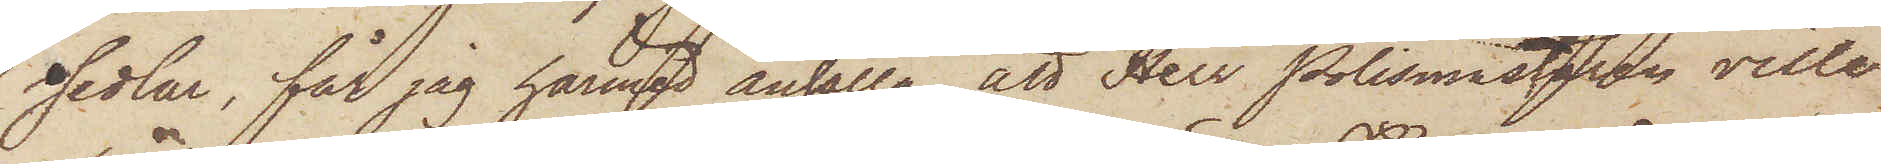sedlar, får jag härmed anhålla att Herr Polismästaren ville
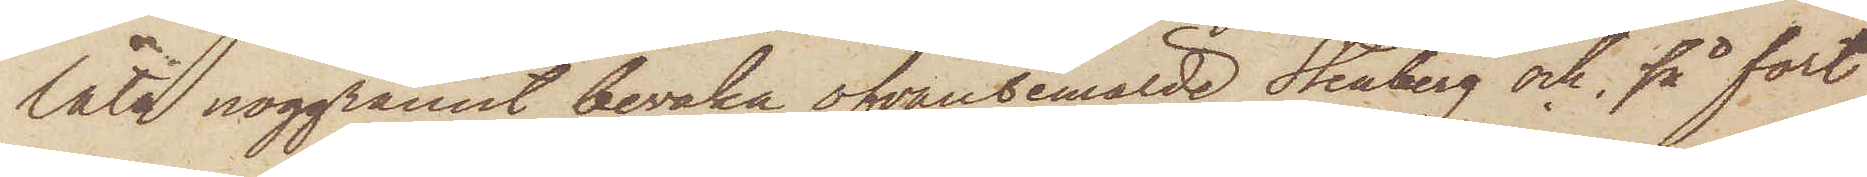låta noggramet bevaka ofvanbemälde Stenberg och, så fort
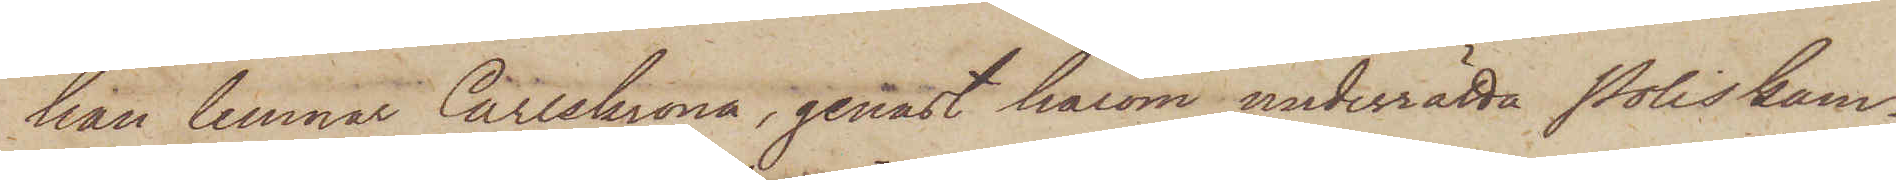han lemnat Carlskrona, genast härom underrätta Poliskam¬
